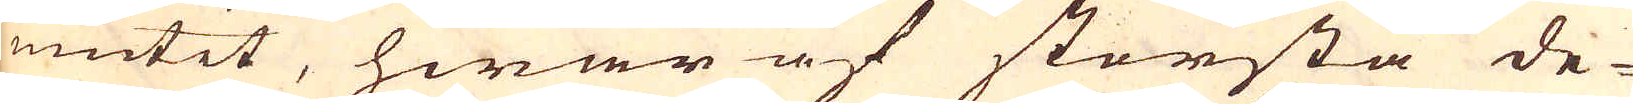niutit, hwar af största de-
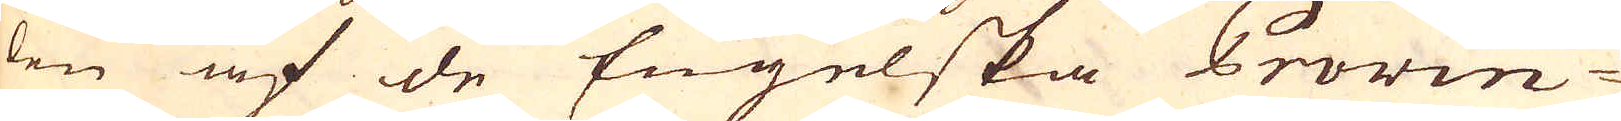len af de Engelska Provin-
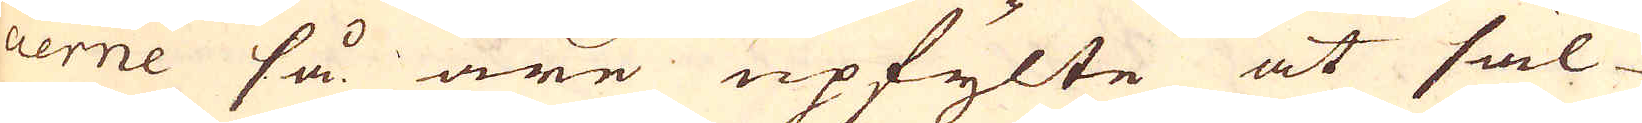cierne så äre upfylte at säl-
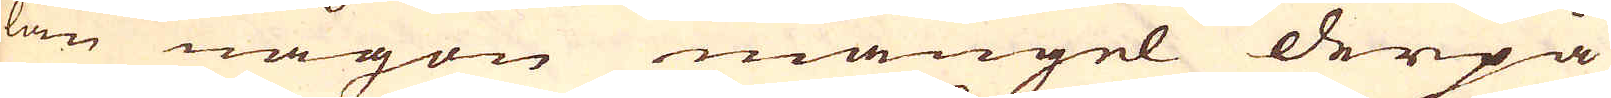lan någon mangel derpå
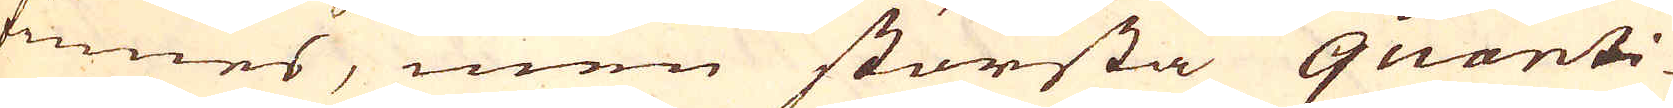finnes, men största quanti-
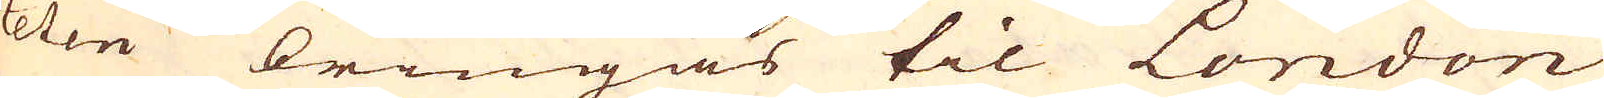teten bringas til London
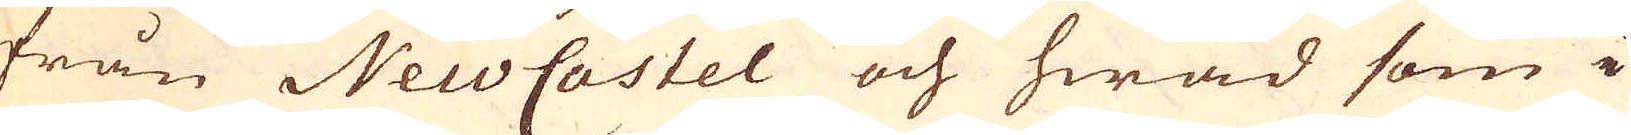från NewCastel och hwad som i
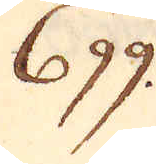699.
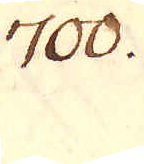700.
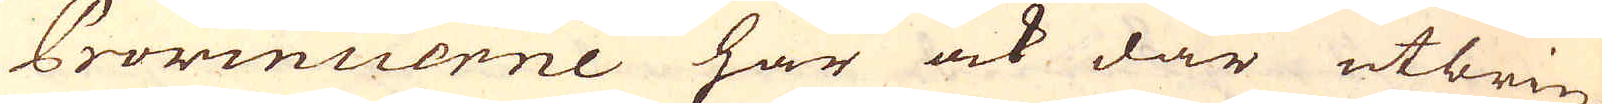Provincerne här ock där utbrin-
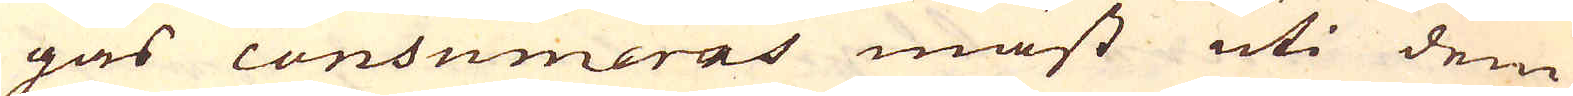gas consumeras mäst uti dem
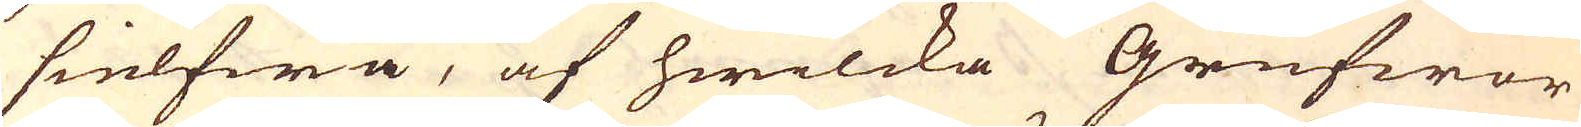sielfwa, af hwilcka Grufwor
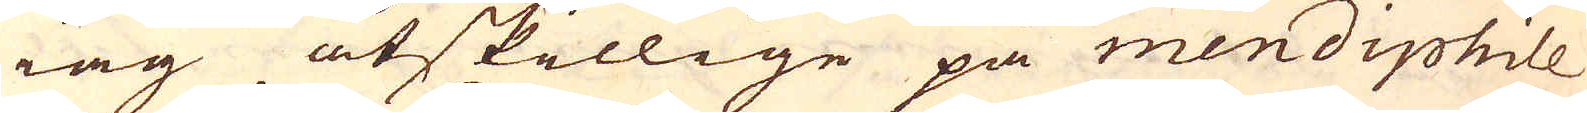iag åtskillige på mendiphile
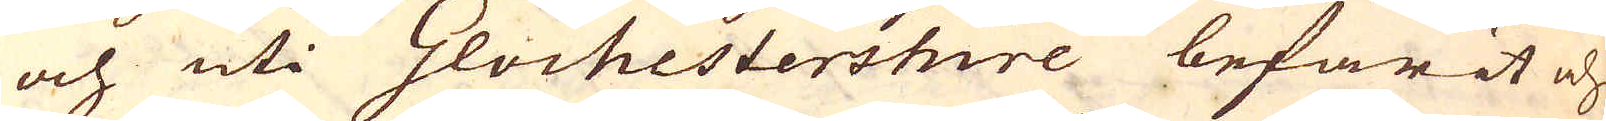och uti Glochestershire befarit och
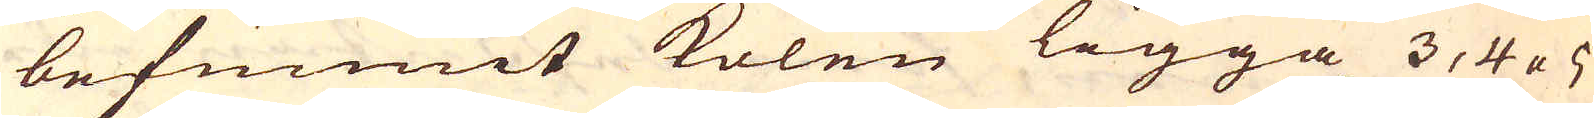befunnit kolen ligga 3, 4 a 5
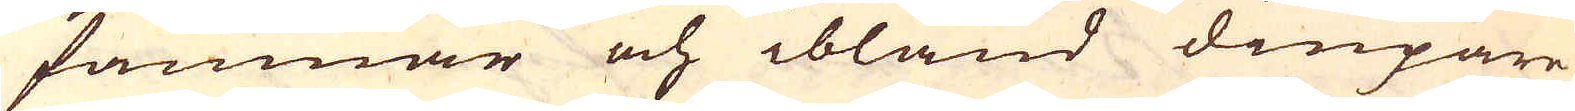famnar och ibland diupare
